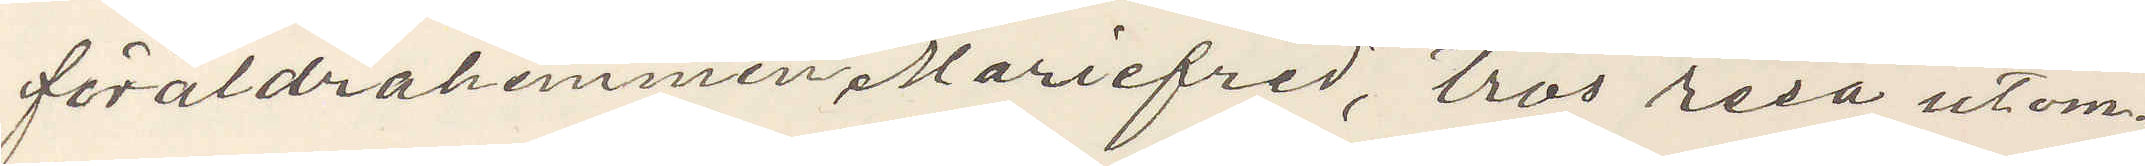föräldrahemmet Mariefred, tros resa utom¬
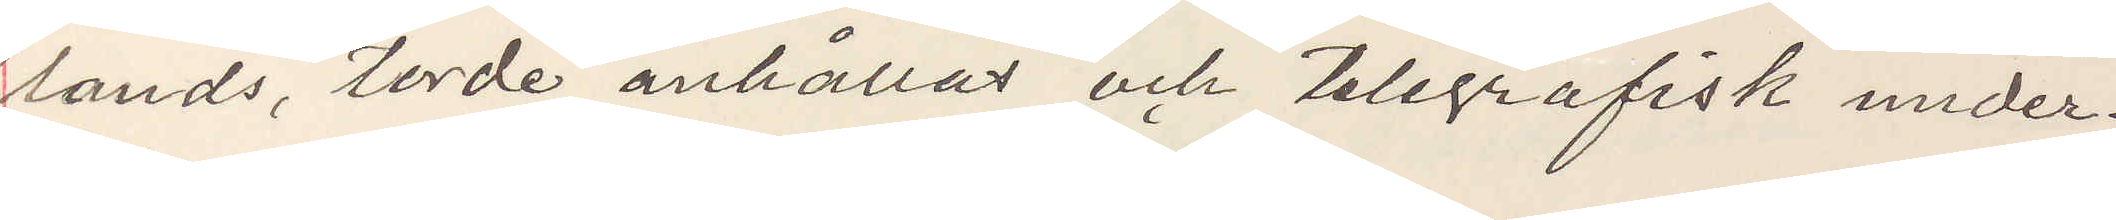lands, torde anhållas och telgrafisk under¬
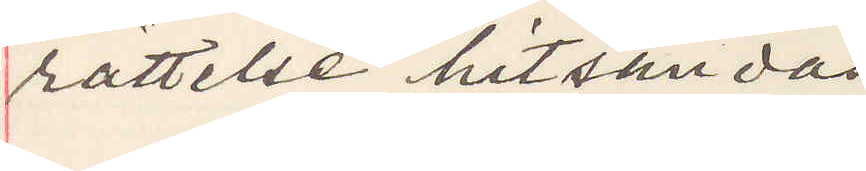rättelse hitsändas.
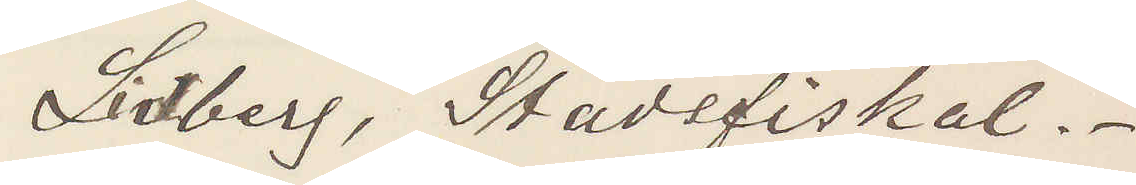Lidberg, Stadsfiskal.
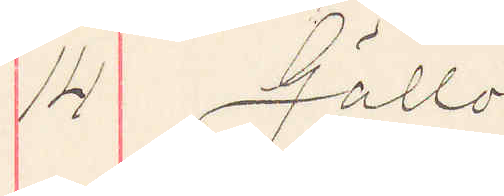14 Gällö
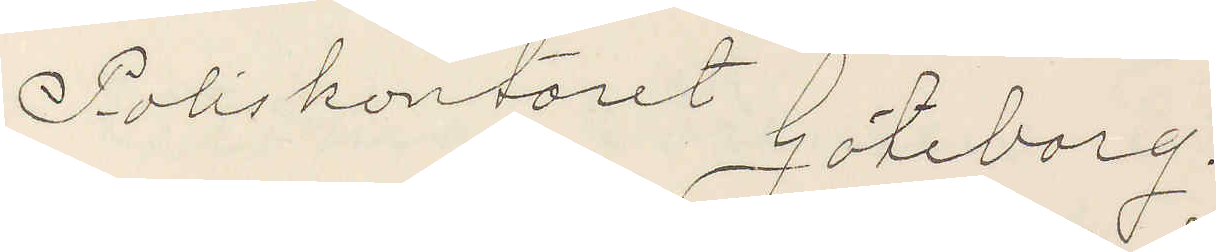Poliskontoret Göteborg.
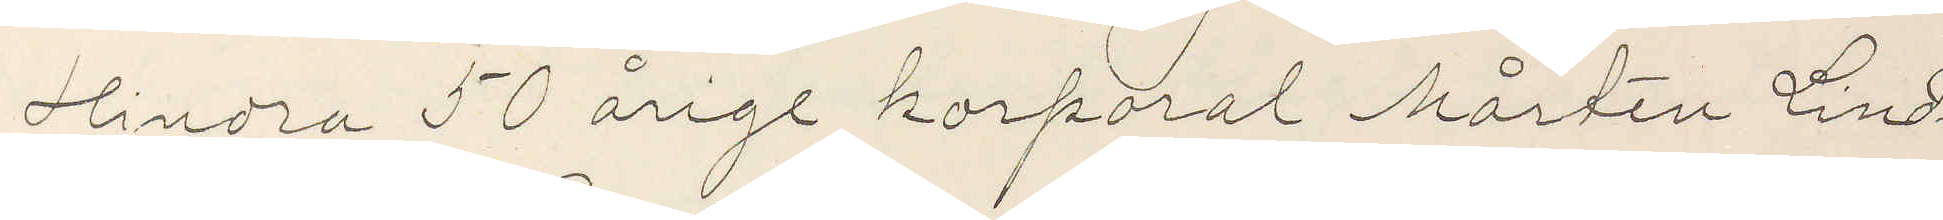Hindra 50 årige korporal Mårten Lind¬
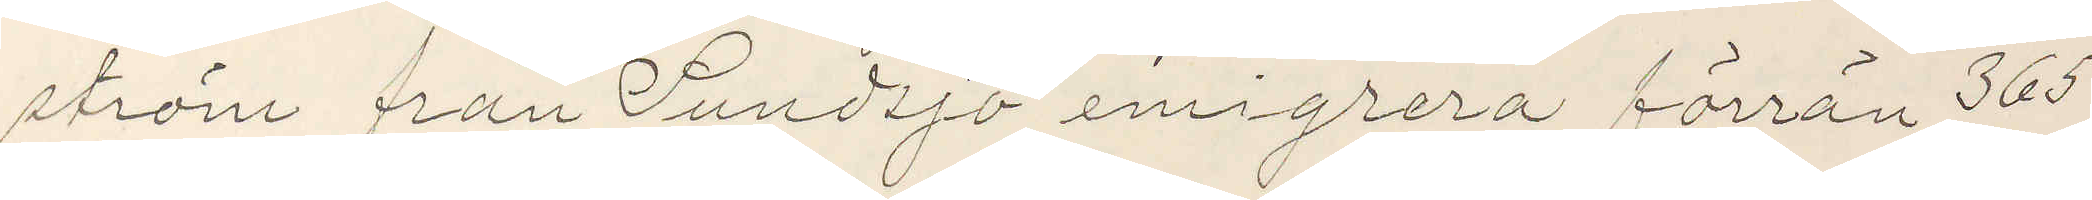ström från Sundsjö emigrera förrän 365
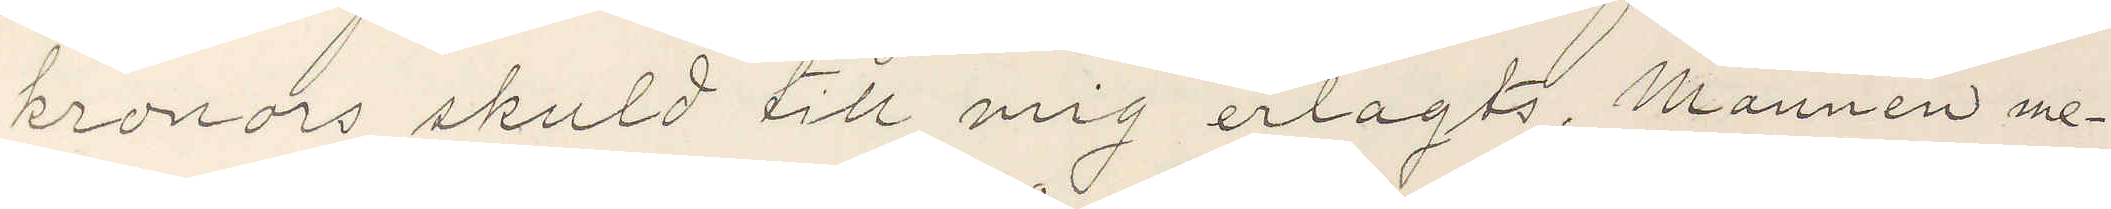kronors skuld till mig erlagts. Mannen me¬
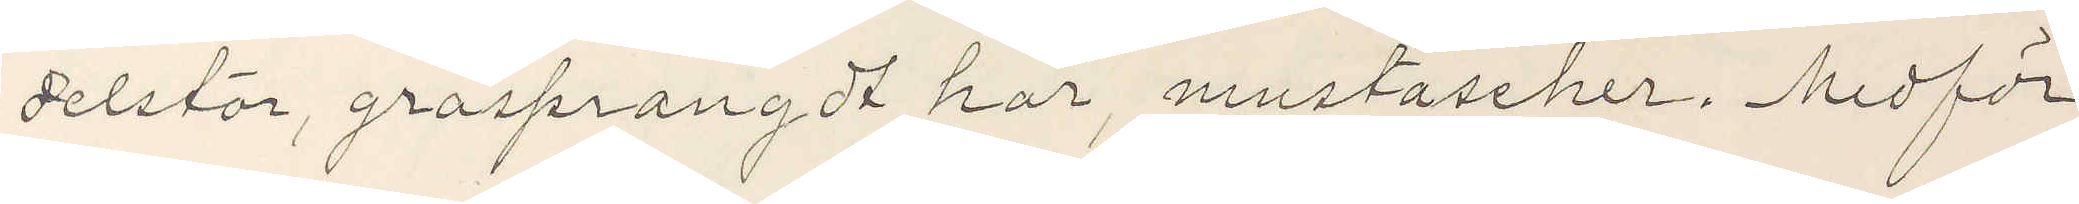delstor, gråsprangdt hår, mustascher. Medför
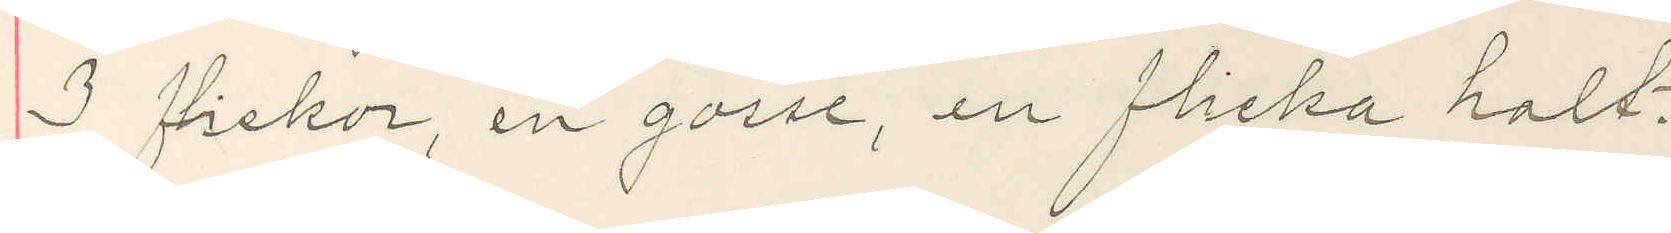3 flickor, en gosse, en flicka halt.
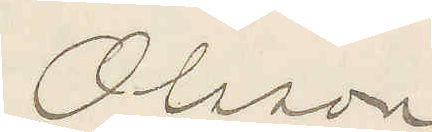Olsson
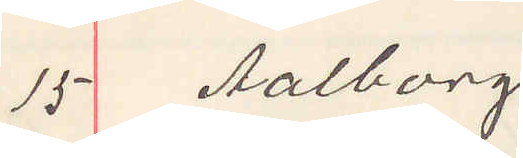15 Aalborg
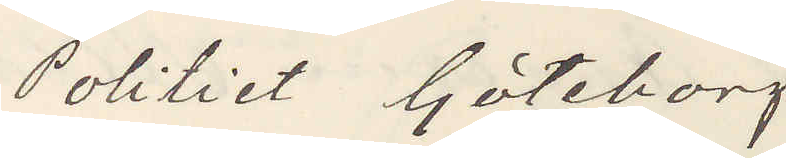Politiet Göteborg
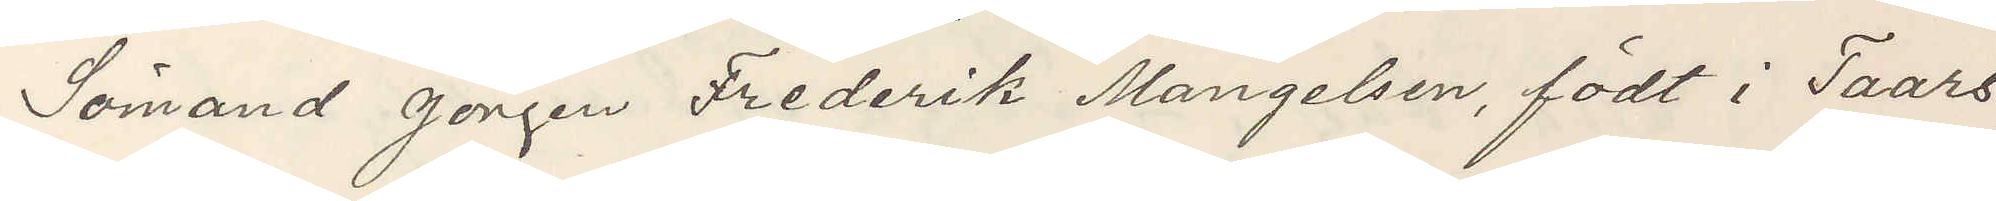Sömand Jörgen Frederik Mangelsen, födt i Taars
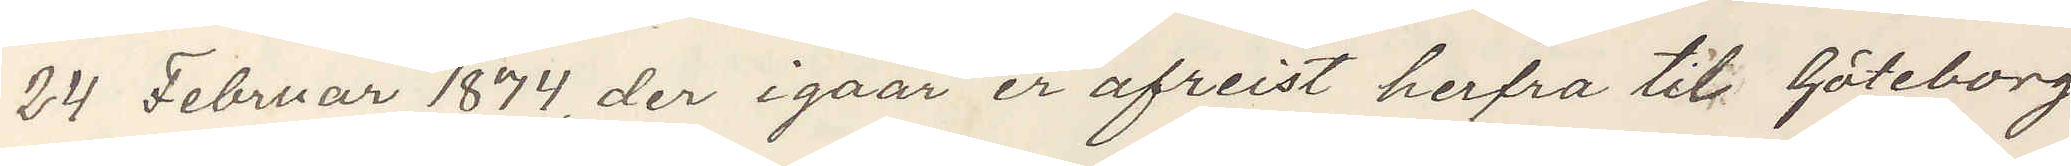24 Februar 1874, der igaar er afreist herfra til Göteborg
